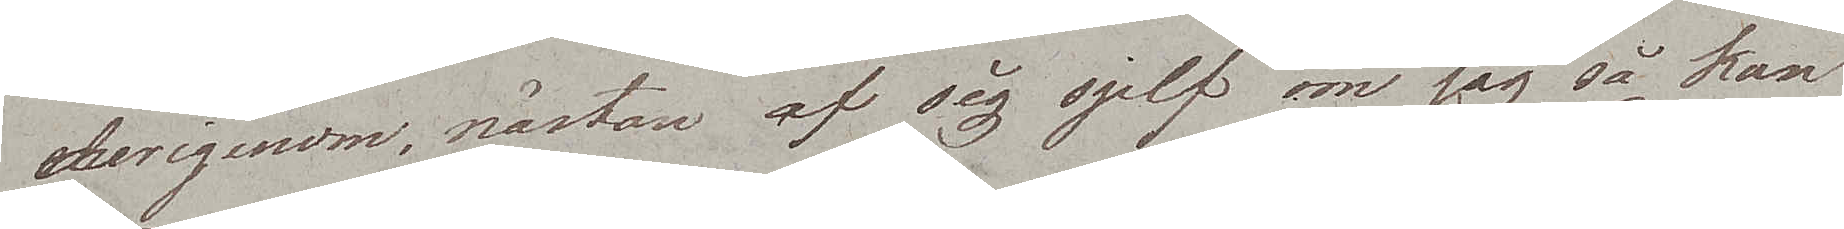derigenom, nästan af sig sjelf om jag så kan
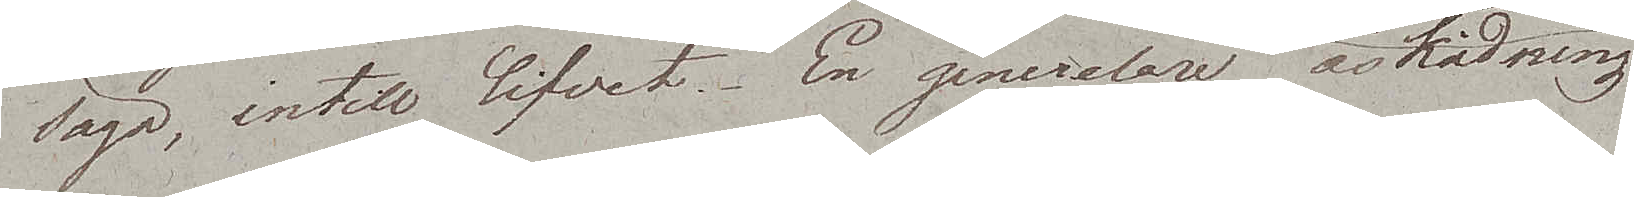säga, intill lifvet. En generelare åskådning
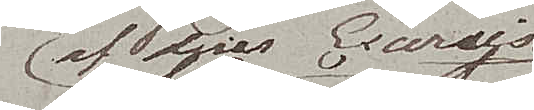af deras Exercise
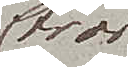tror
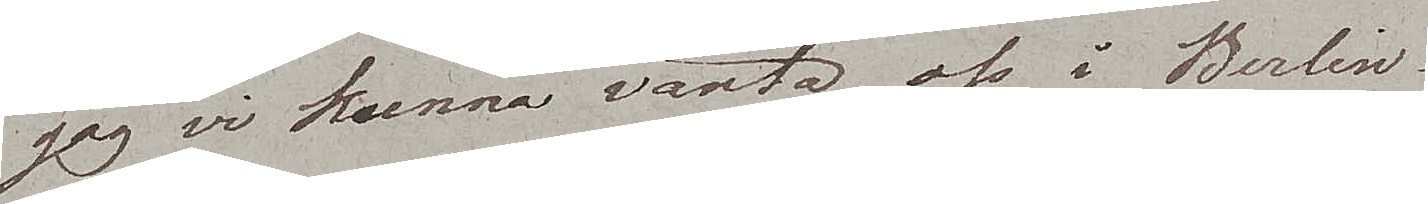jag vi kunna vänta oss i Berlin.
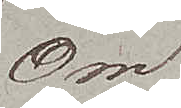Om
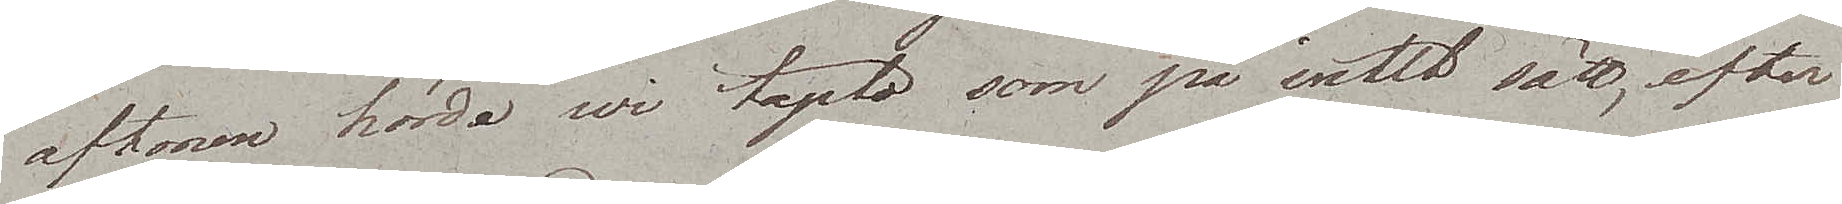aftonen hörde wi tapto som på intet sätt, efter
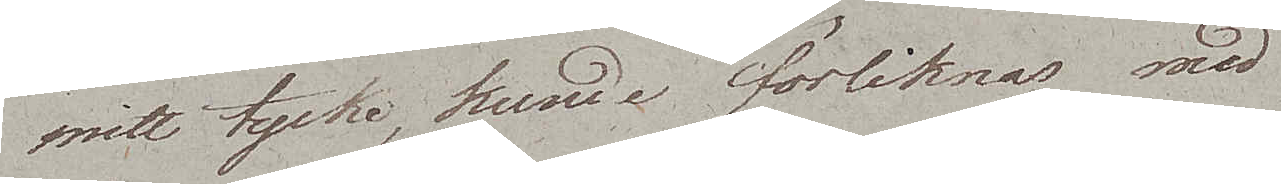mitt tycke, kunde förliknas med
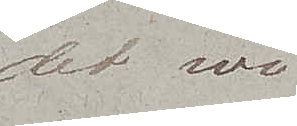det wi
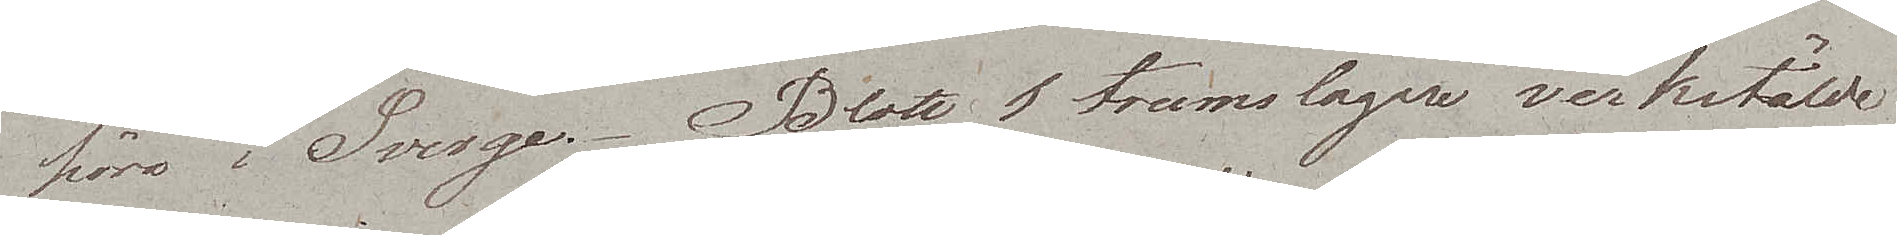höra i Sverge. Blott 1 trumslagare verkstälde
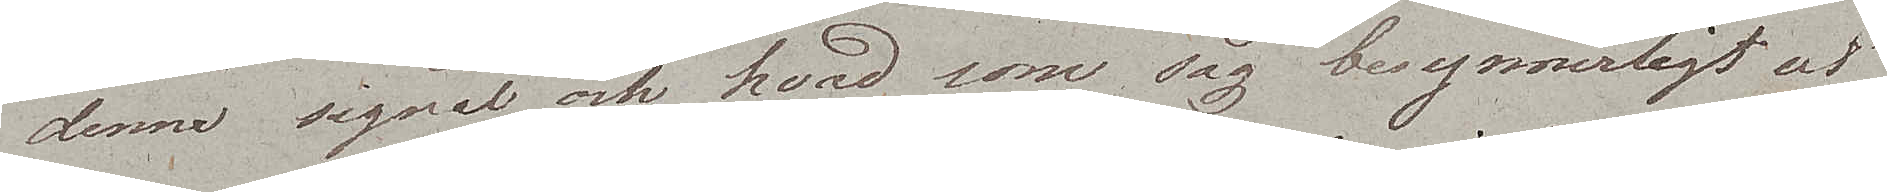denne signal, och hvad som såg besynnerligt ut
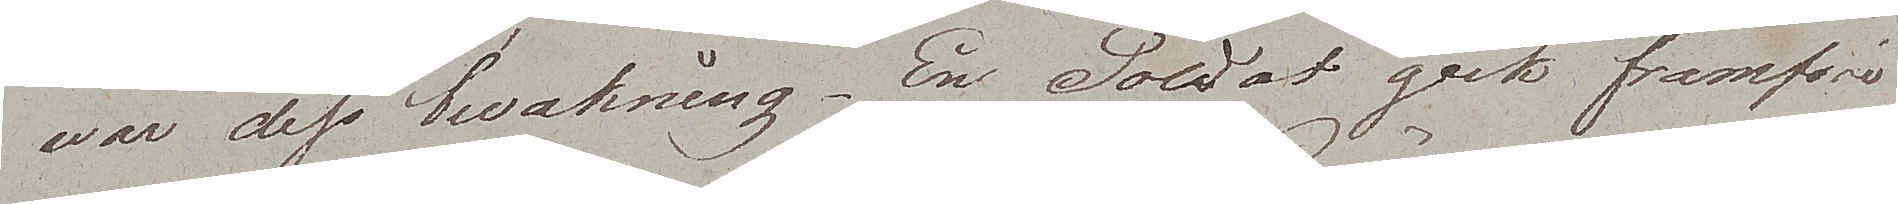war dess bevakning. En Soldat gick framföre
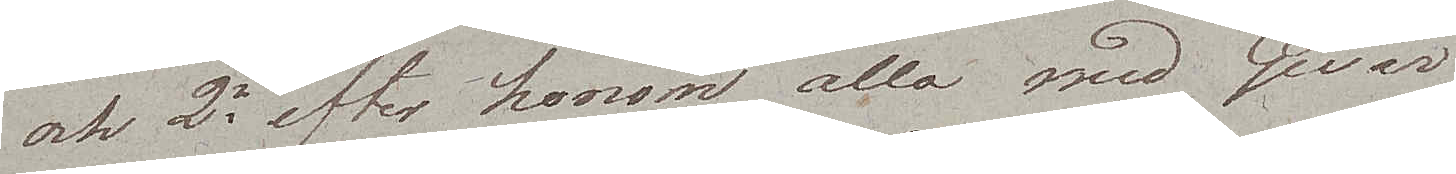och 2ne efter honom alla med Gevär.
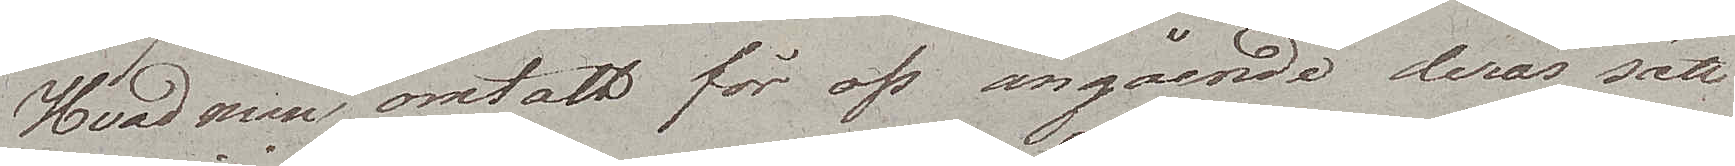Hvad man omtalt för oss angående deras sätt
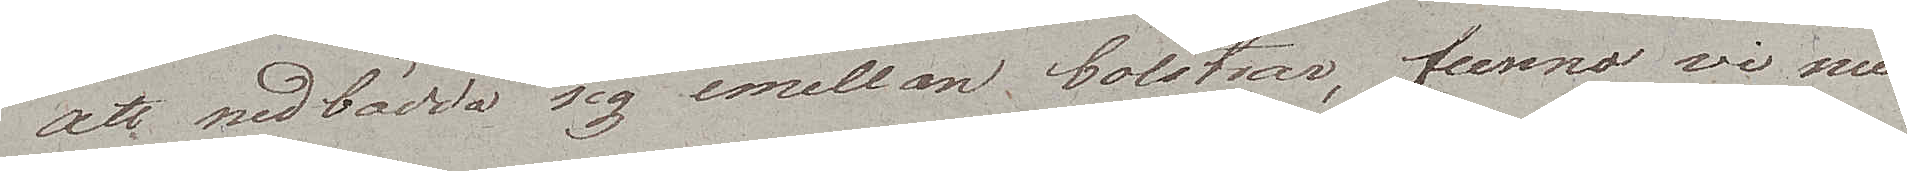att nedbädda sig emellan bolstrar, funno vi nu
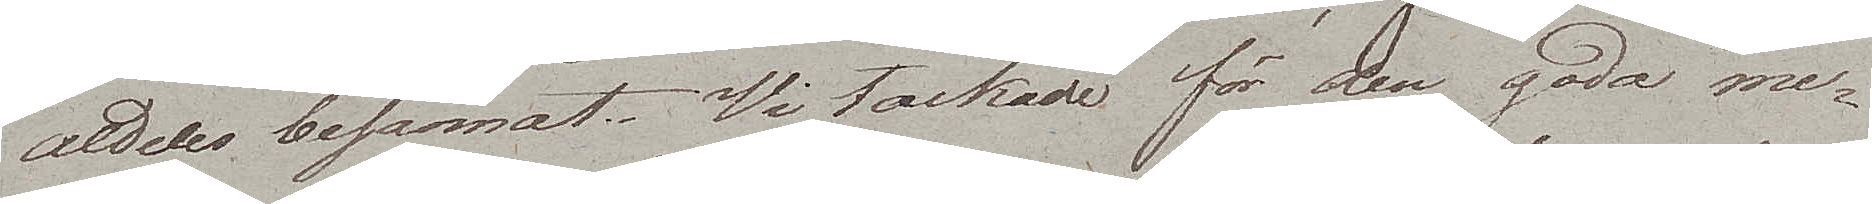aldeles besannat. Vi tackade för den goda me¬
